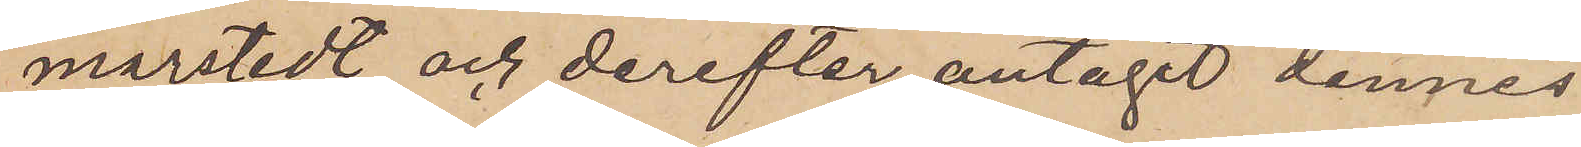marstedt och derefter antagit dennes
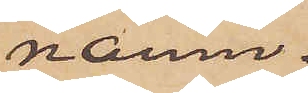namn.
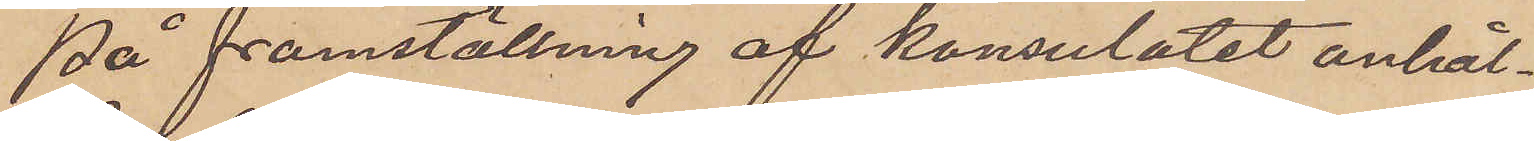På framställning af Konsulatet anhål¬
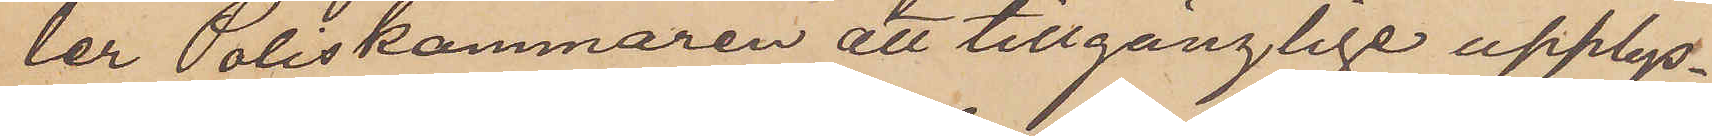ler Poliskammaren att tillgänglige upplys¬
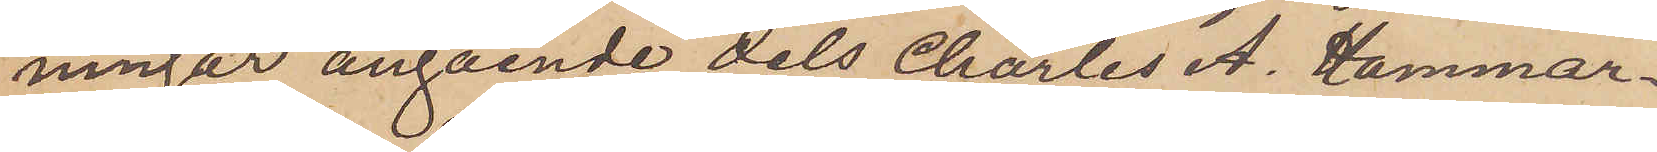ningar angående dels Charles A. Hammar¬
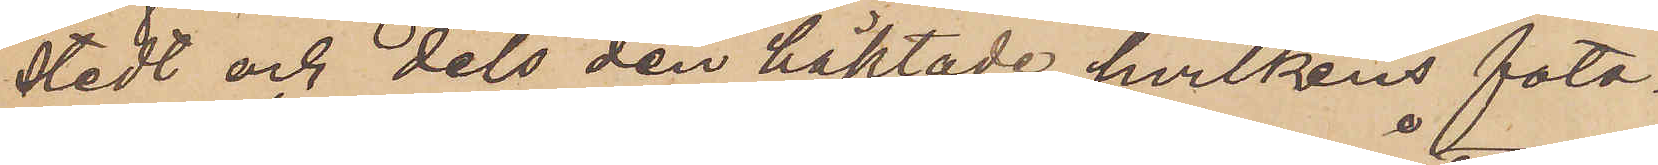stedt och dels den häktade hvilkens foto¬
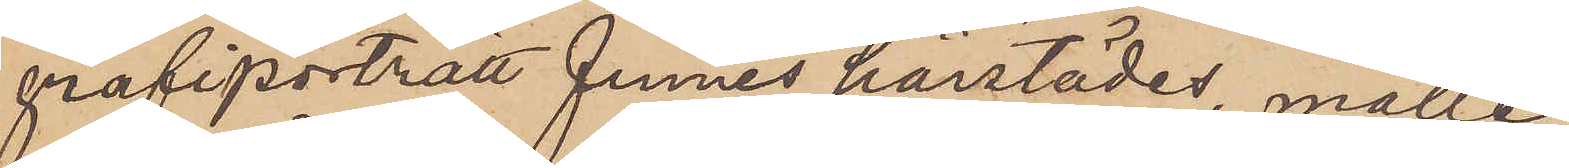grafiporträtt finnes härstädes, mälle
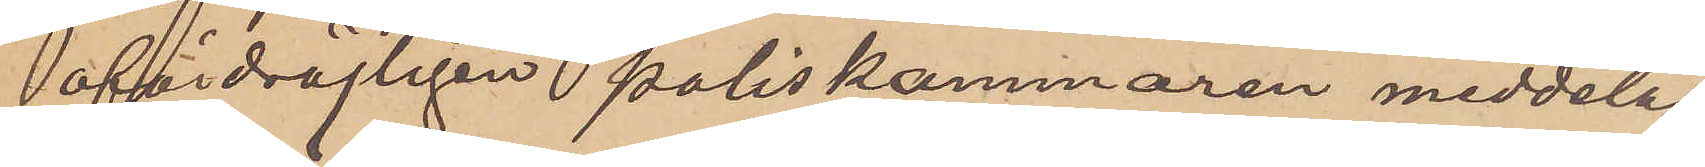ofördröjligen poliskammaren meddelas.
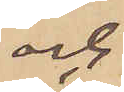och
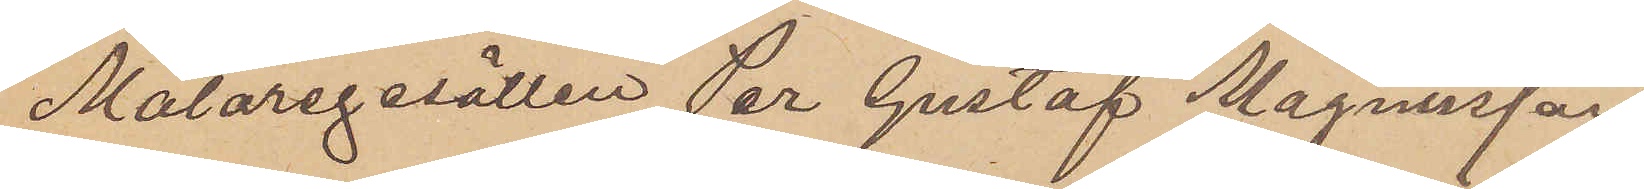Målaregesällen Per Gustaf Magnusson
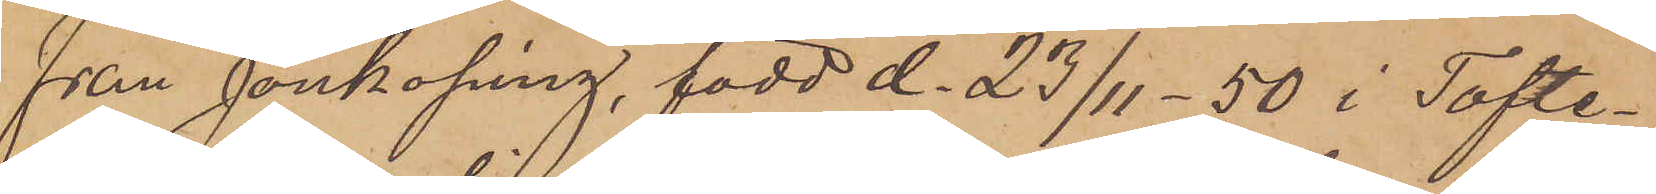från Jönköping, född d. 231,50 i Tofte¬
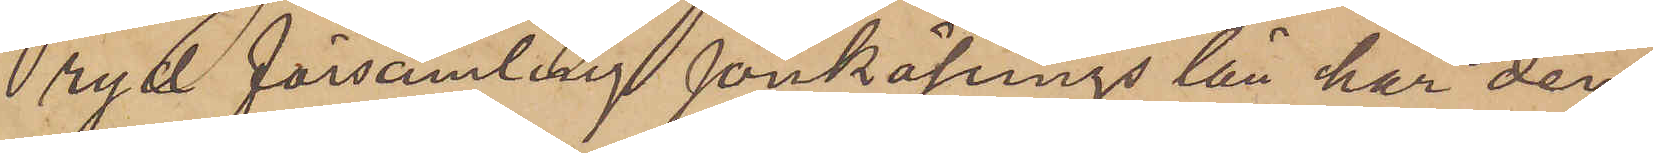ryd församling Jönköpings län har den
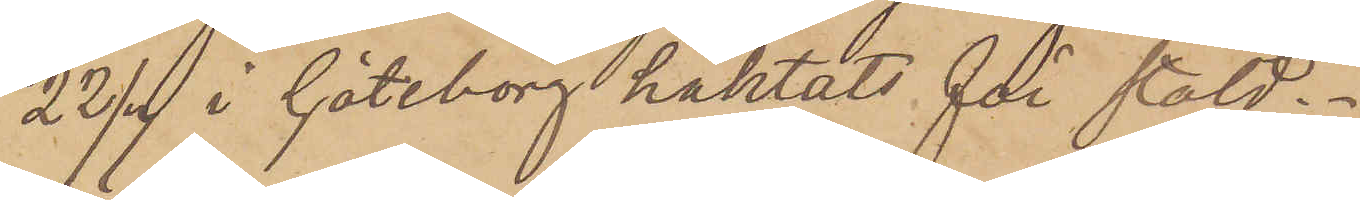22/7 i Göteborg häktats för stöld.
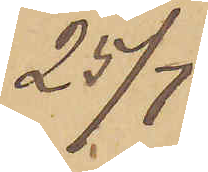25/7
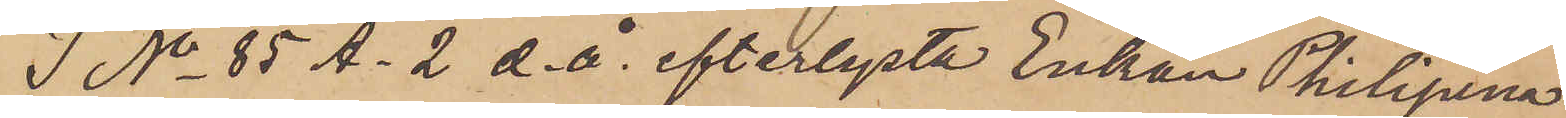I No 85 A. 2 d. å. efterlysta Enkan Philipina
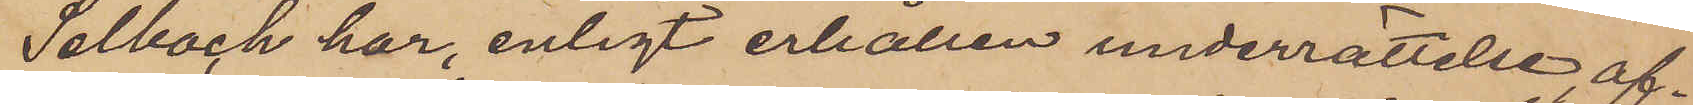Selboch har, enligt erhållen underrättelse af¬
